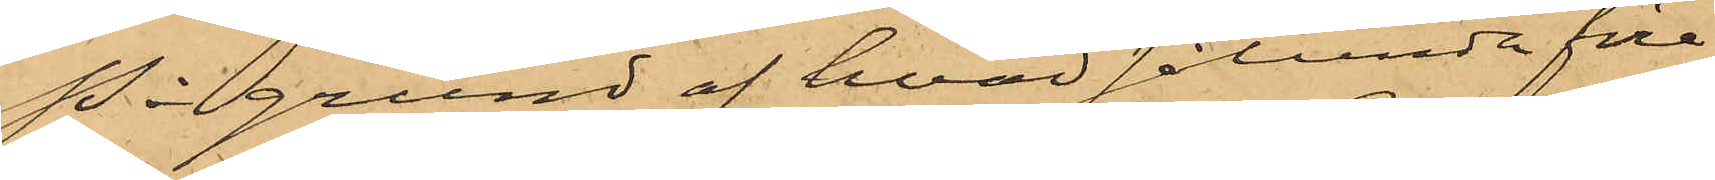På grund af hvad sålunda före¬
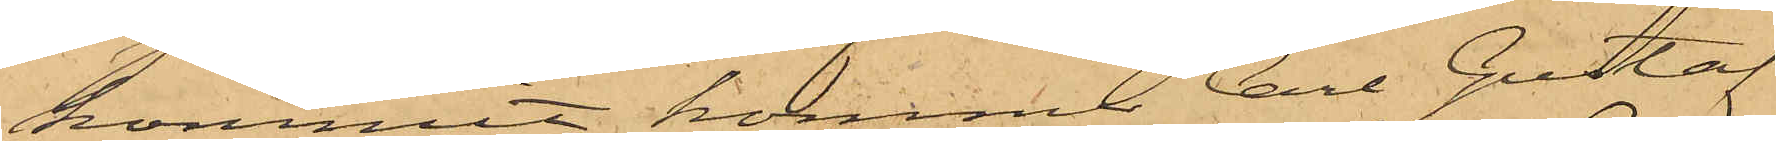kommit, kommer Carl Gustaf
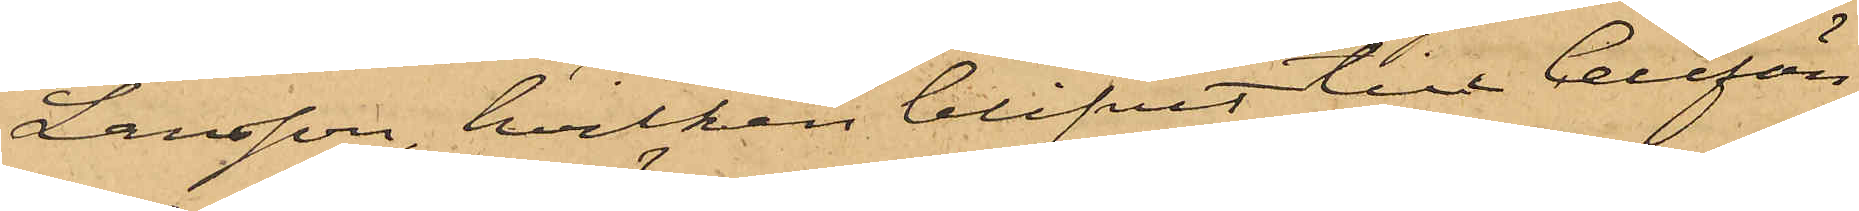Larsson, hvilken blifvit till Cellfän¬
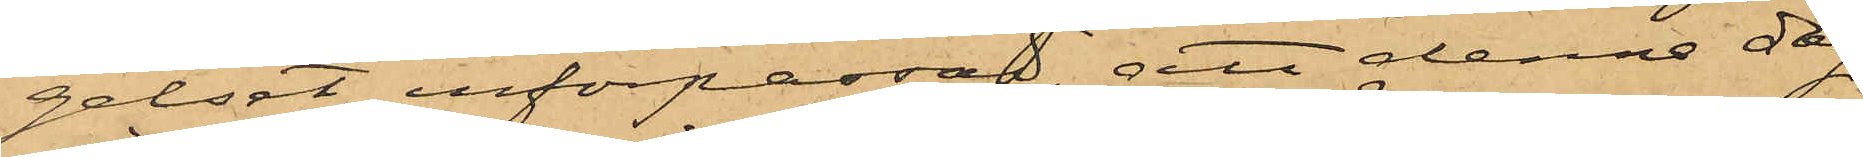gelset införpassad, att denna dag
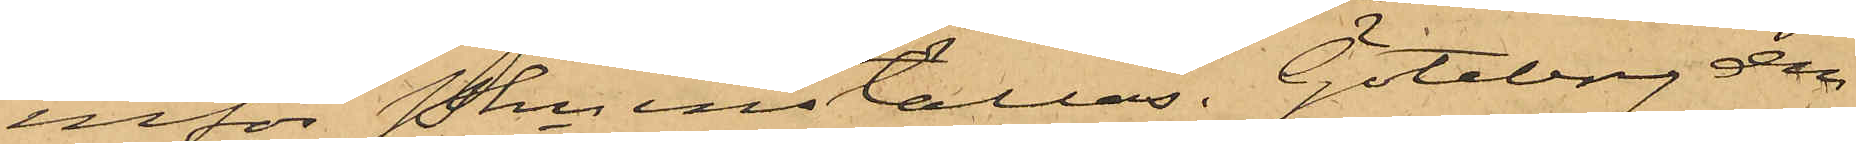inför Pkn inställas. Göteborg den
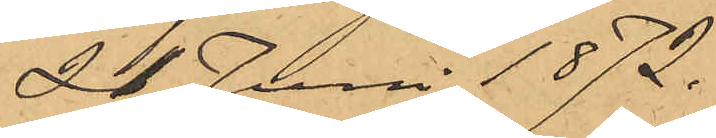21 Juni 1872.
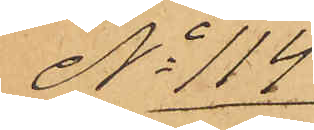No 114
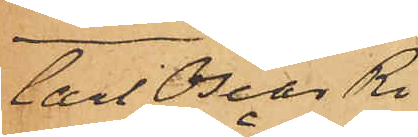Carl Oscar Ri¬
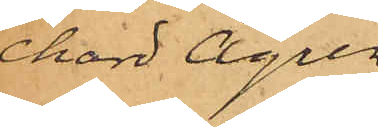chard Ågren
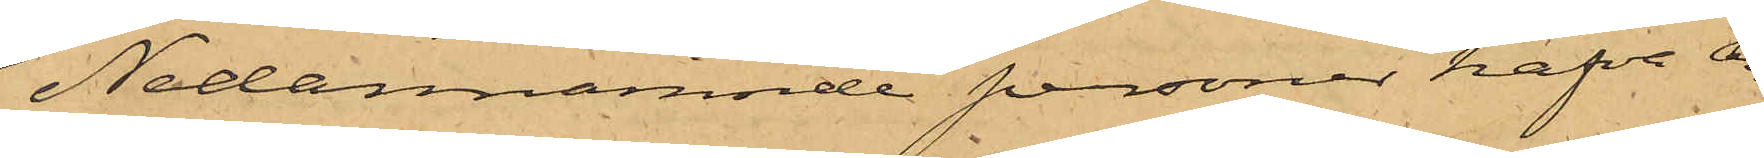Nedannämnde personer hafva an¬
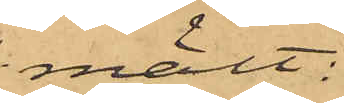mält:
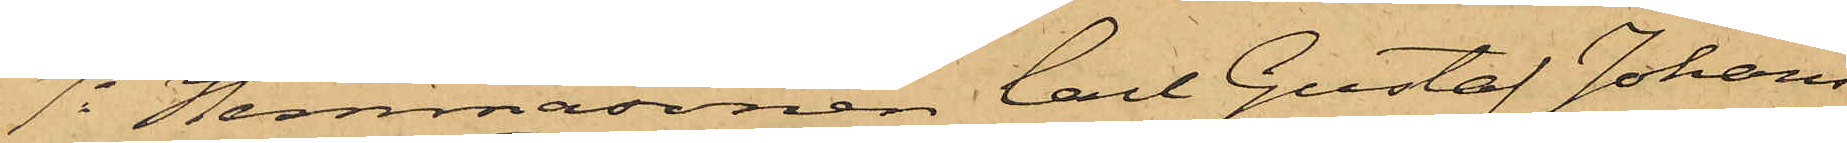1o Hemmasonen Carl Gustaf Johans¬
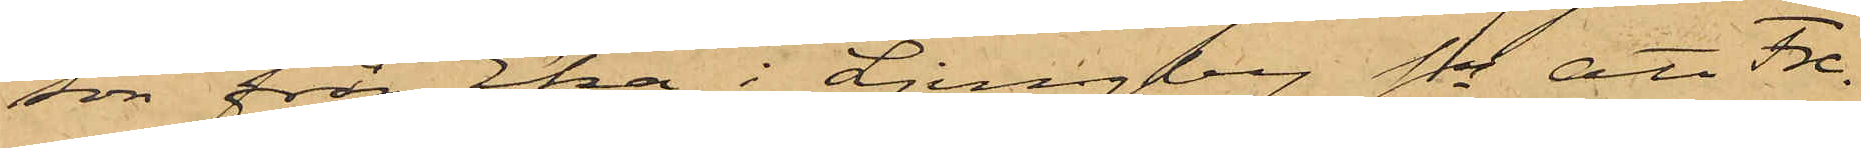son från Eka i Ljungby Sn att Fre¬
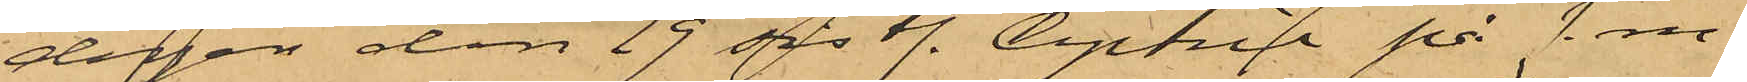dagen den 19 sistl. April på f. m.
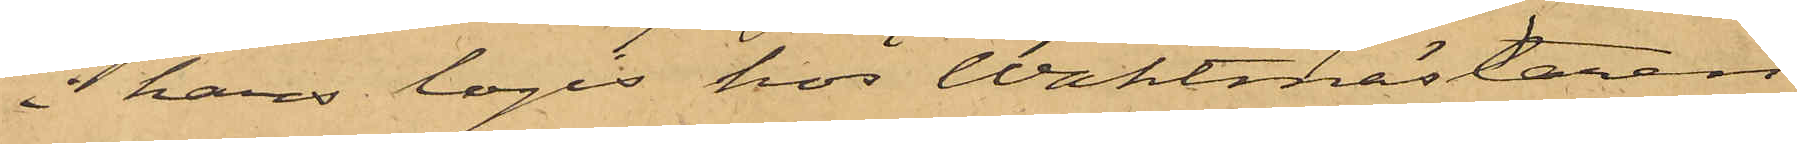å hans logis hos Waktmästaren
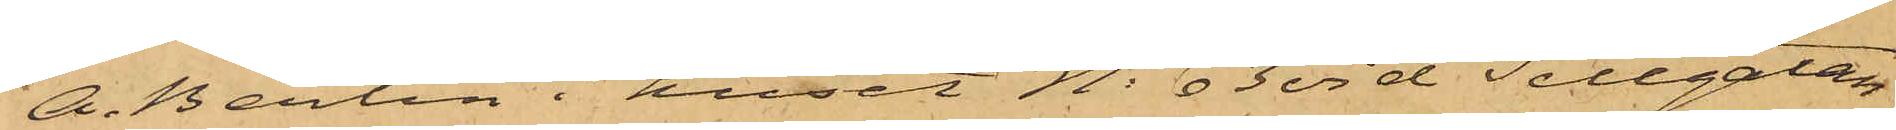A. Berlin i huset No 63 vid Sillgatan
